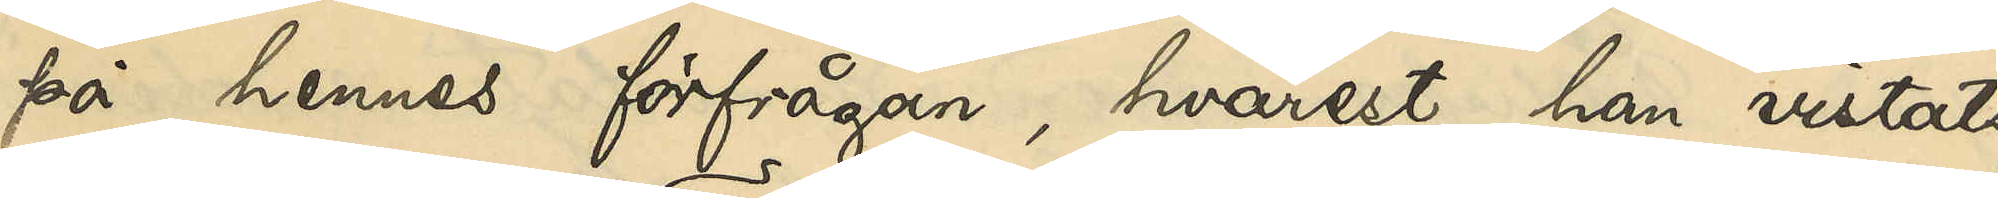på hennes förfrågan, hvarest han vistats,
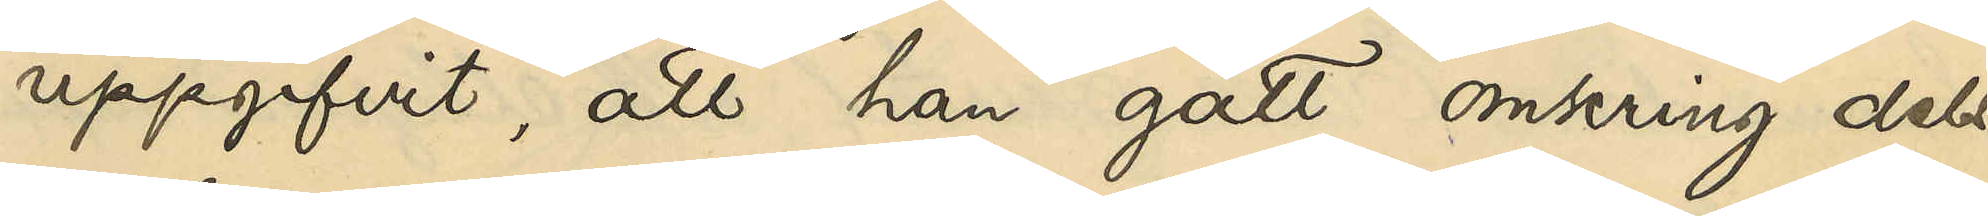uppgifvit, att han gått omkring dels
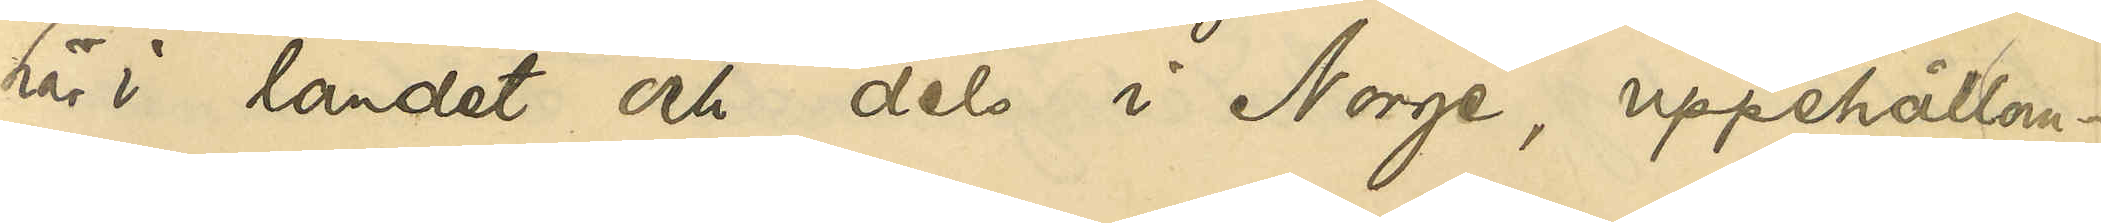här i landet och dels i Norge, uppehållan¬
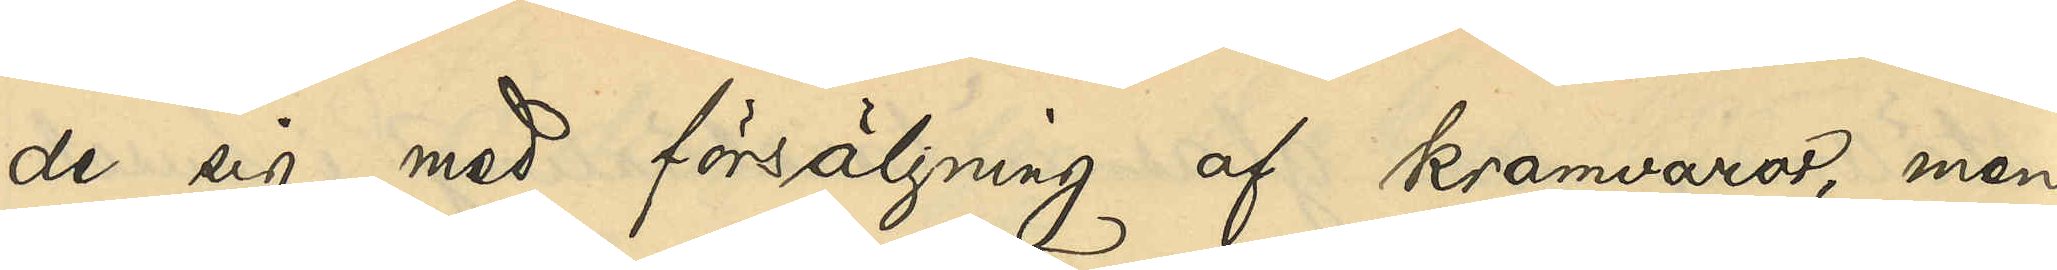de sig med försäljning af kramvaror, men
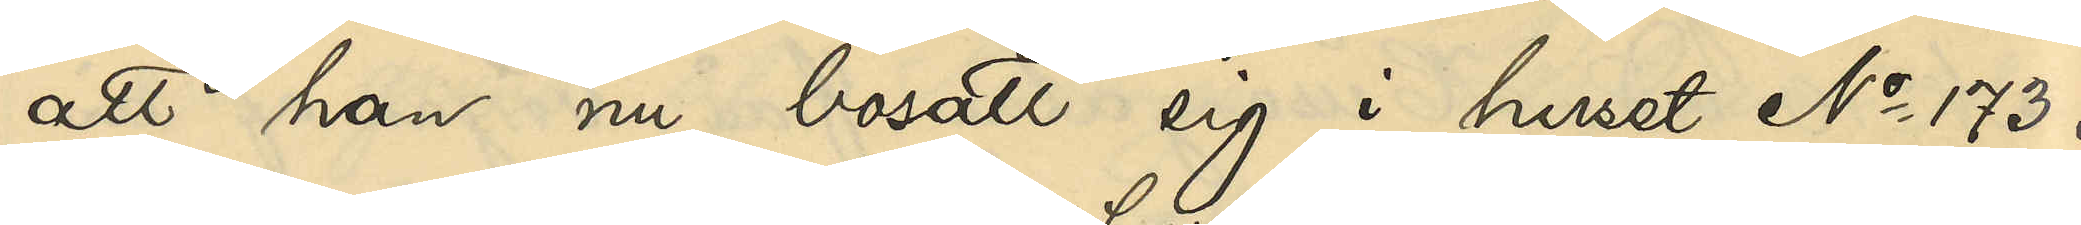att han nu bosatt sig i huset No 173 i
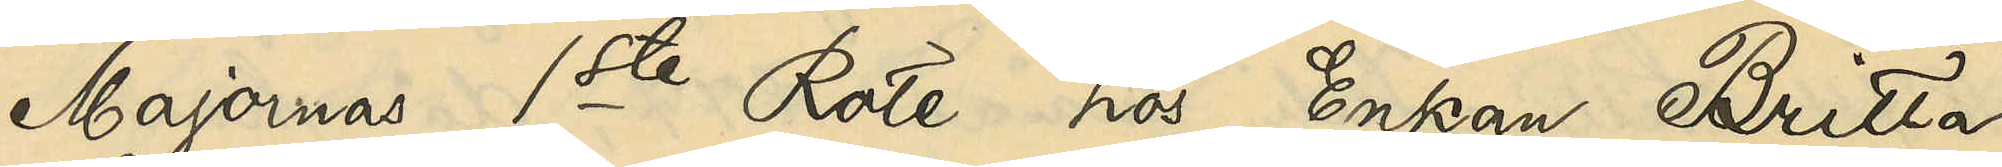Majornas 1ste Rote hos Enkan Britta
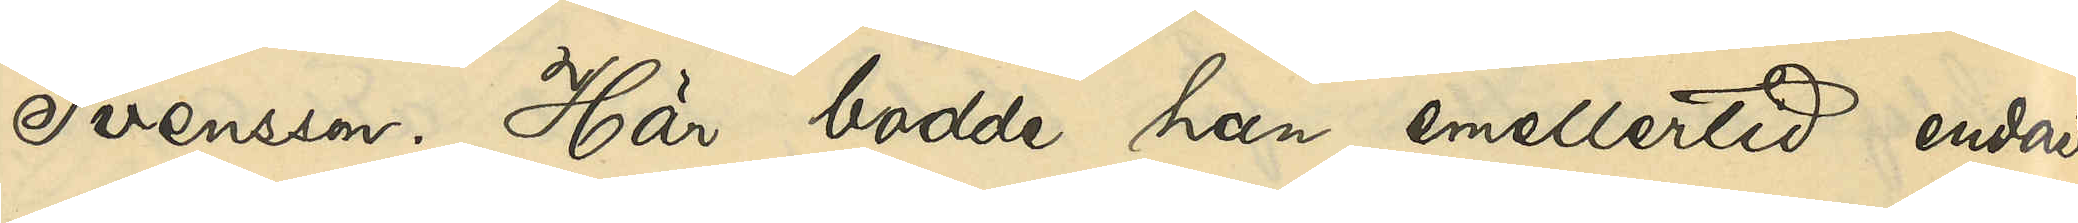Svensson. Här bodde han emellertid endast
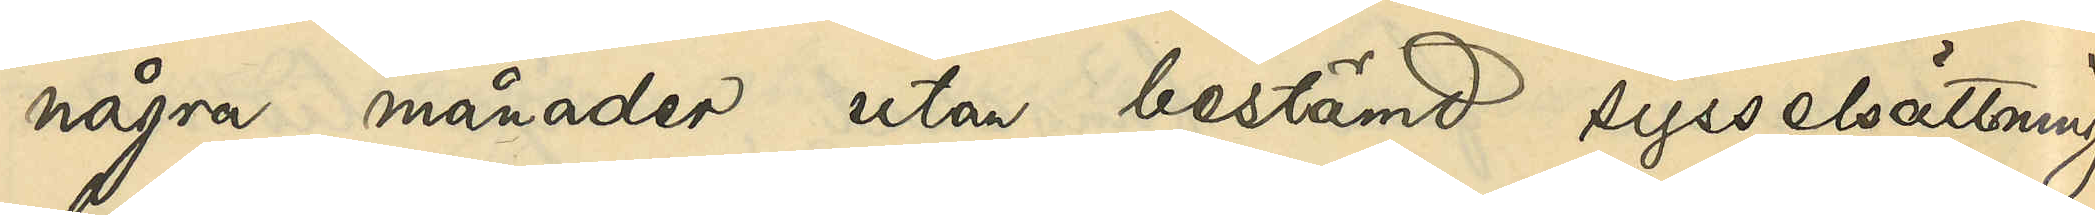några månader utan bestämd sysselsättning,
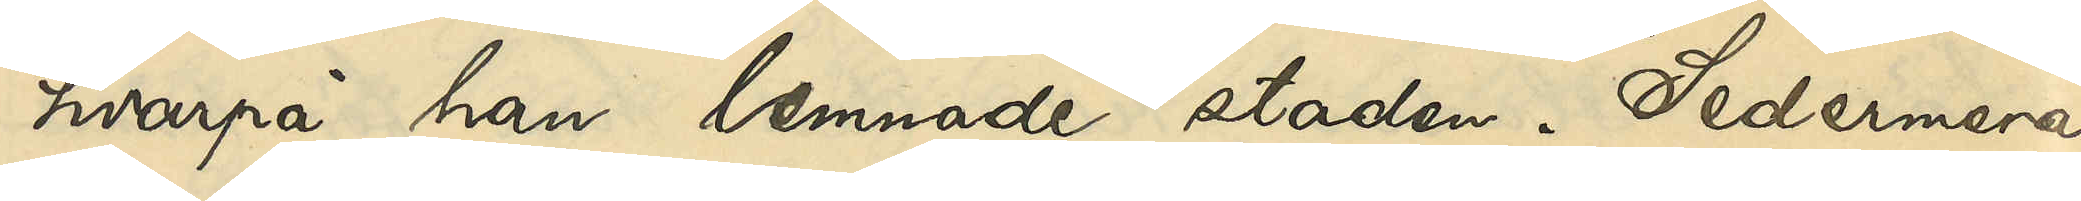hvarpå han lemnade staden. Sedermera
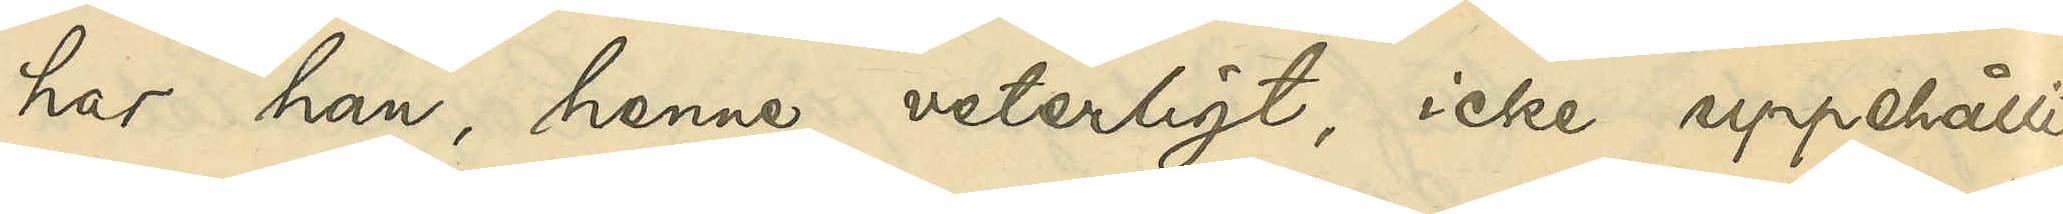har han, henne veterligt, icke uppehållit
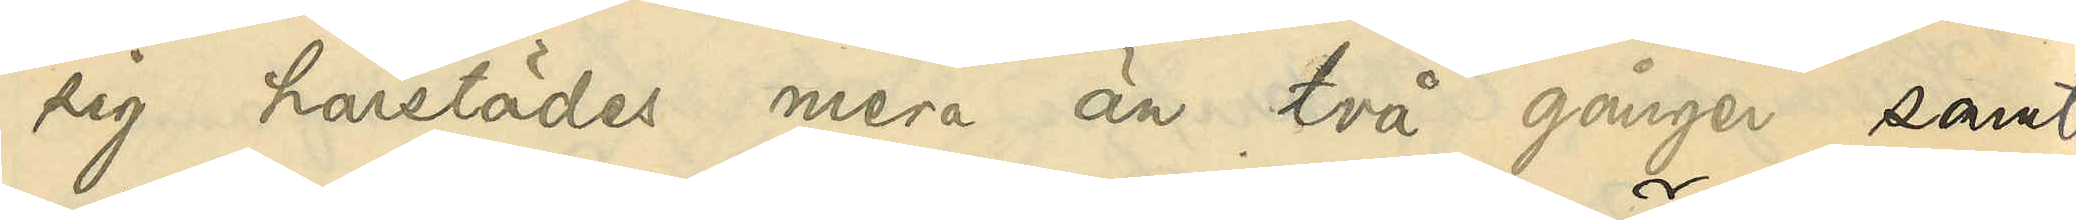sig härstädes mera än två gånger samt
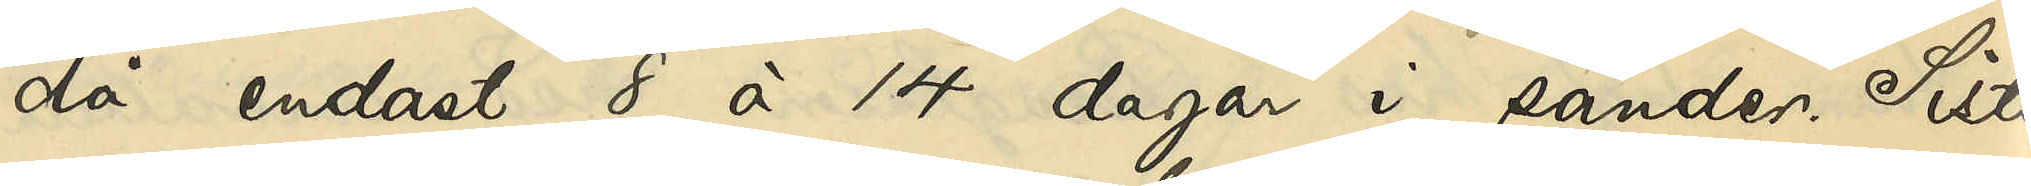då endast 8 à 14 dagar i sänder. Sista
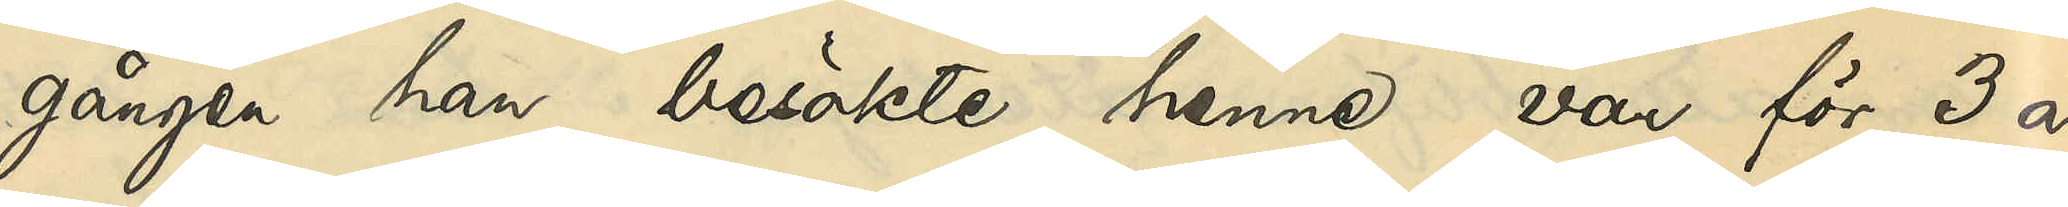gången han  besökte henne var för 3 år
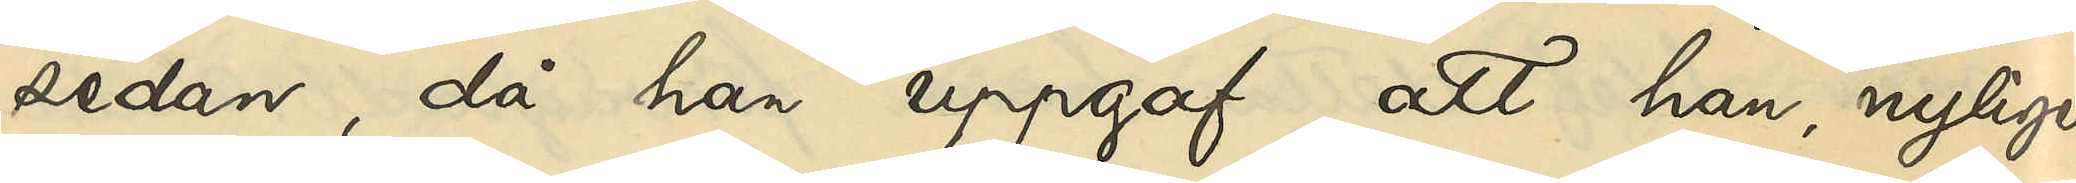sedan, då han uppgaf, att han, nyligen
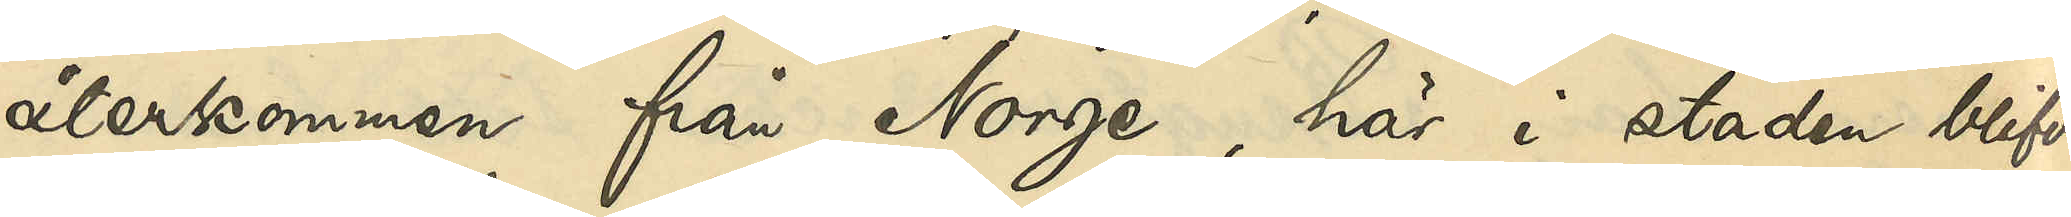återkommen från Norge, här i staden blifvit
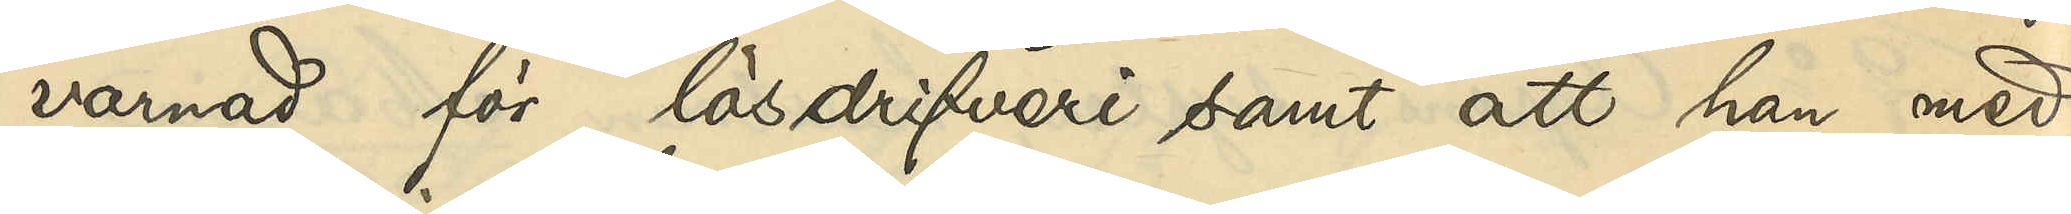varnad för lösdrifveri samt att han med
